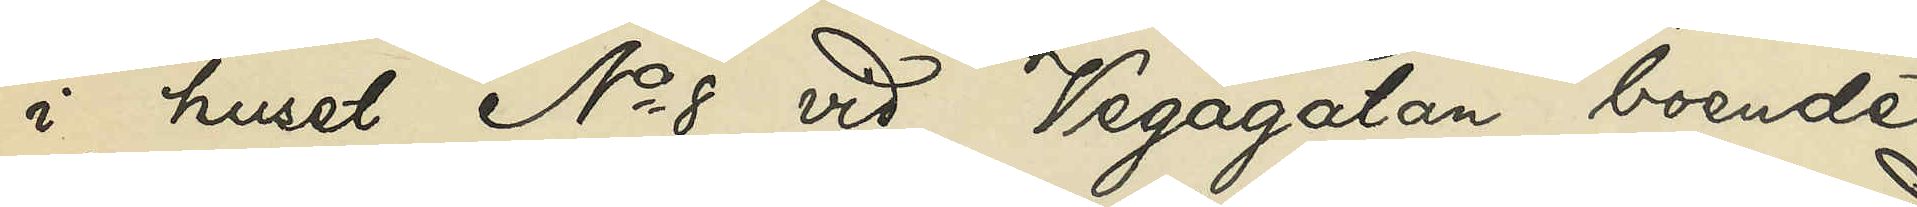i huset No 8 vid Vegagatan boende
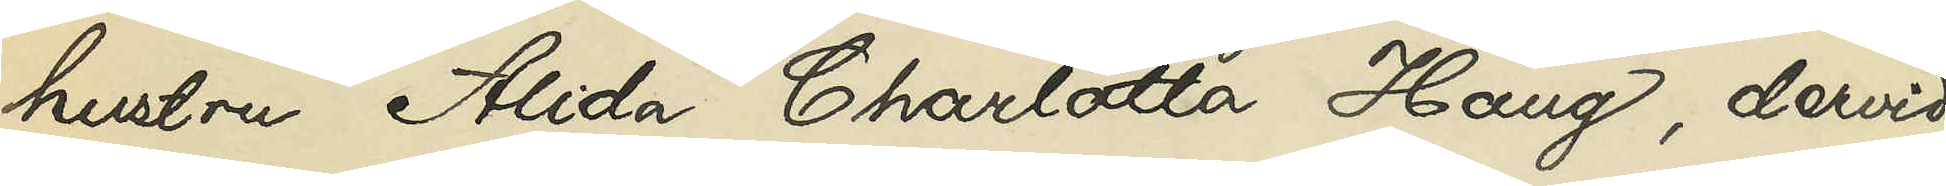hustru Alida Charlotta Haug, dervid
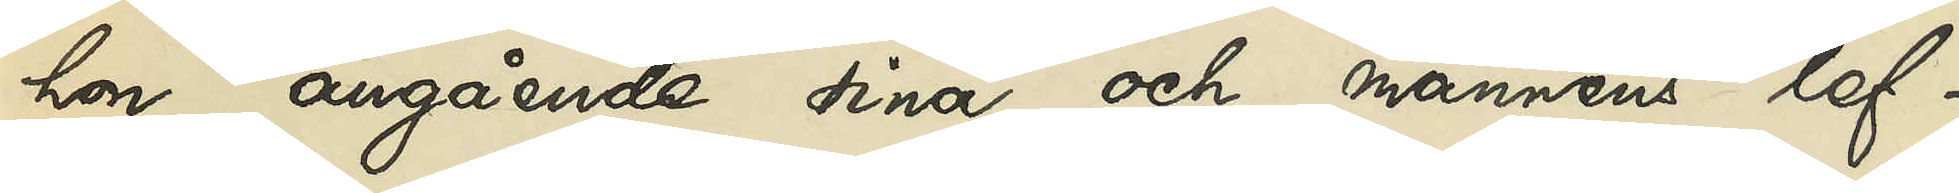hon angående sina och mannens lef¬
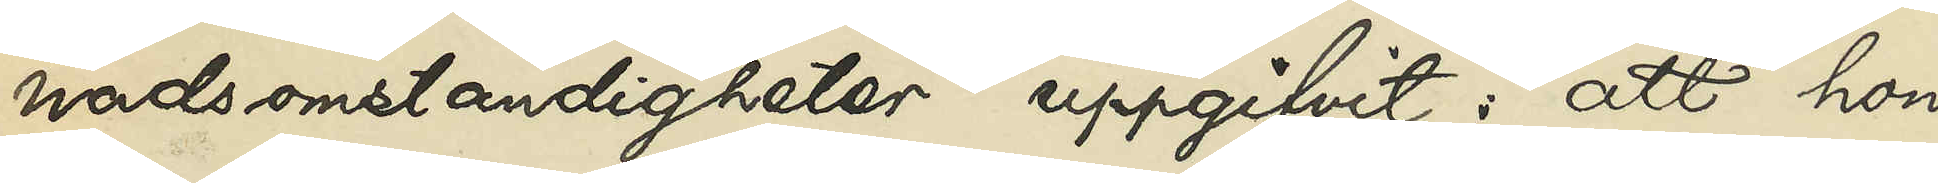nadsomständigheter uppgifvit: att hon
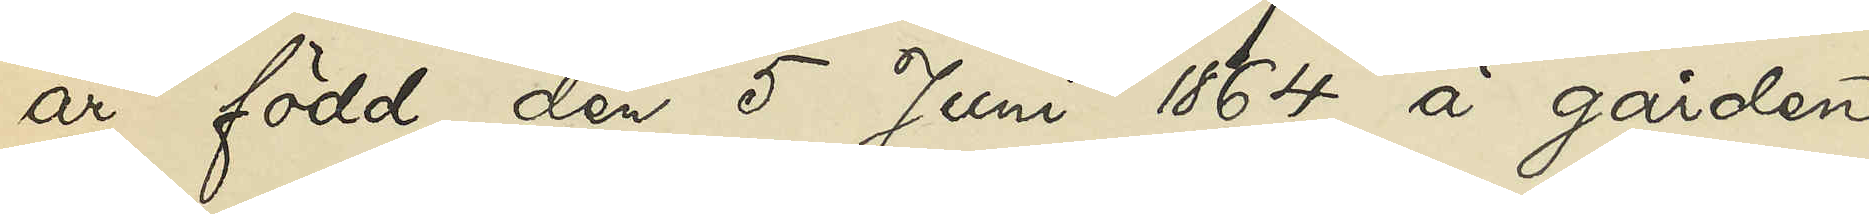är född den 5 Juni 1864 å gården
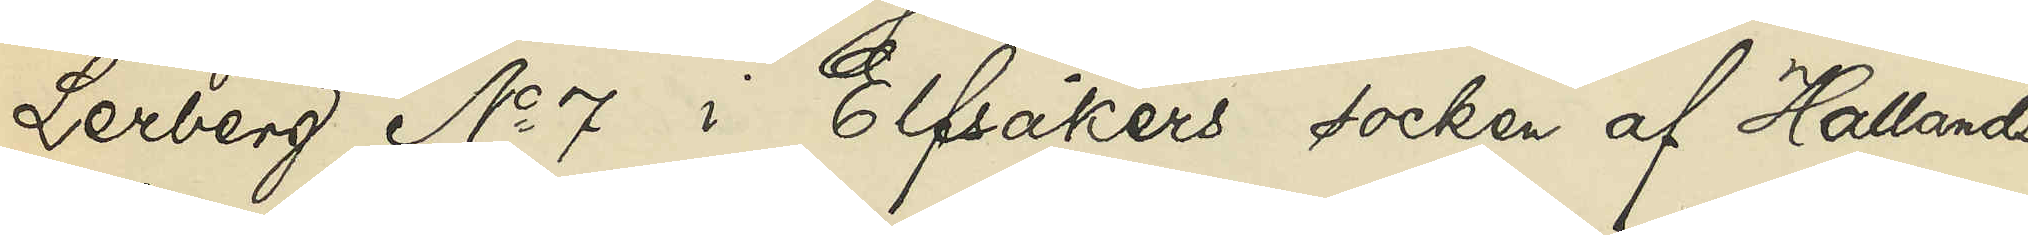Lerberg No 7 i Elfsåkers socken af Hallands
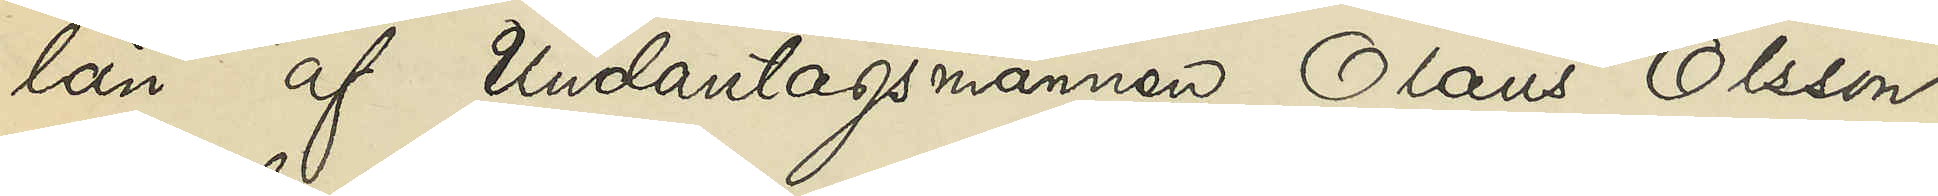län af Undantagsmannen Olaus Olsson
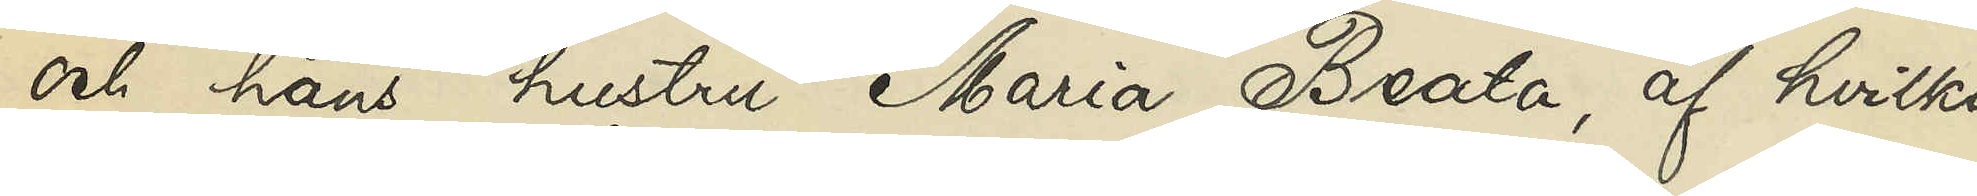och hans hustru Maria Beata, af hvilka
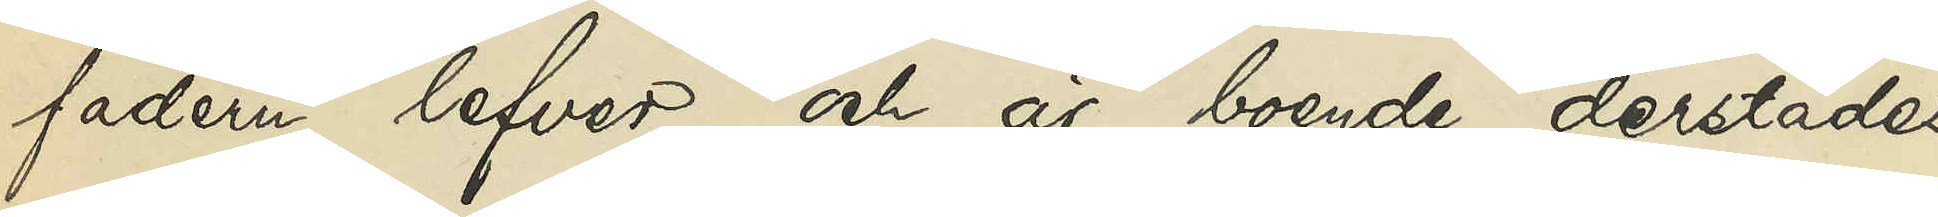fadern lefver och är boende derstädes;
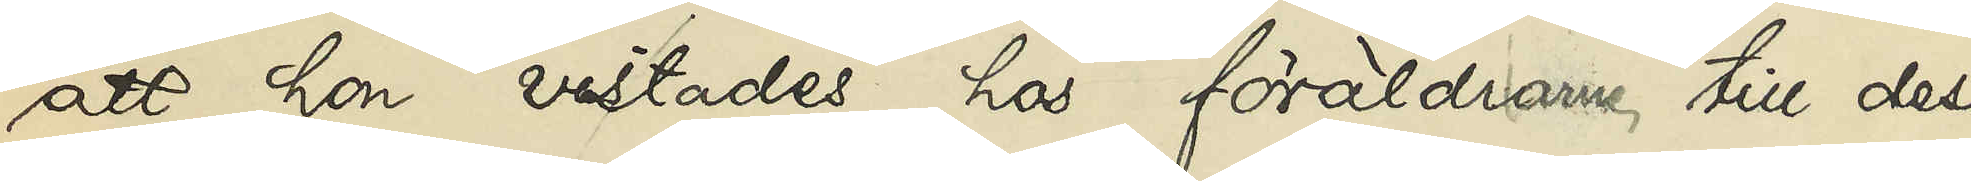att hon vistades hos föräldrarne till dess
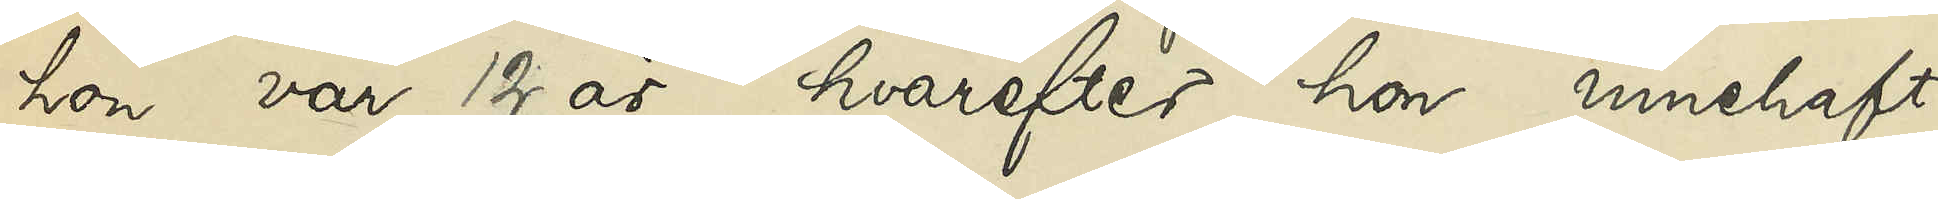hon var 12 år, hvarefter hon innehaft
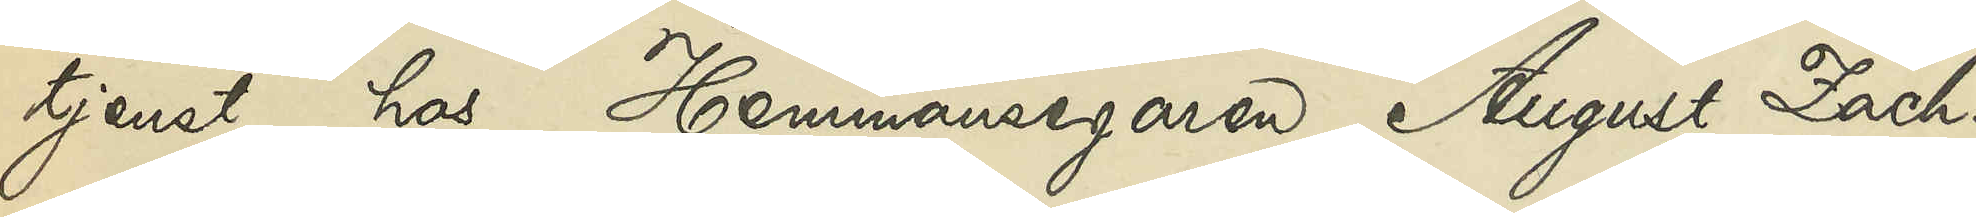tjenst hos Hemmansegaren August Zach¬
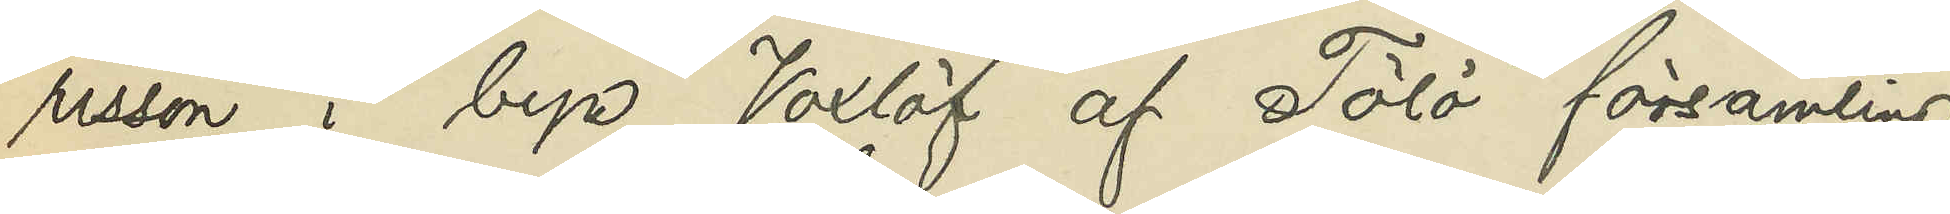risson i byn Voxlöf af Tölö församling
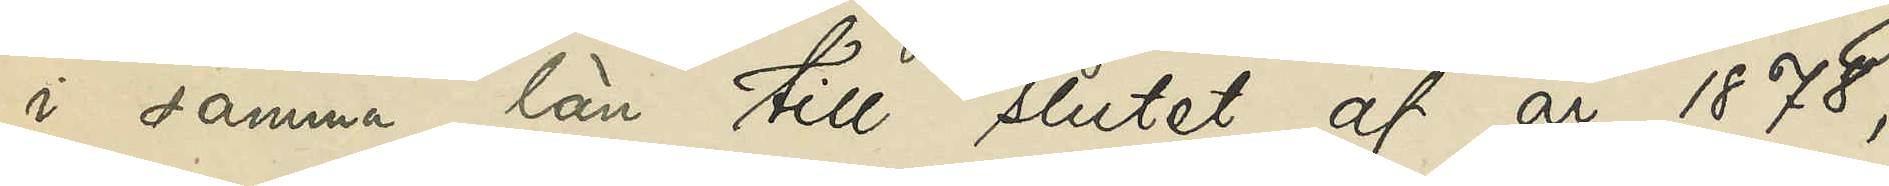i samma län till slutet af år 1878,
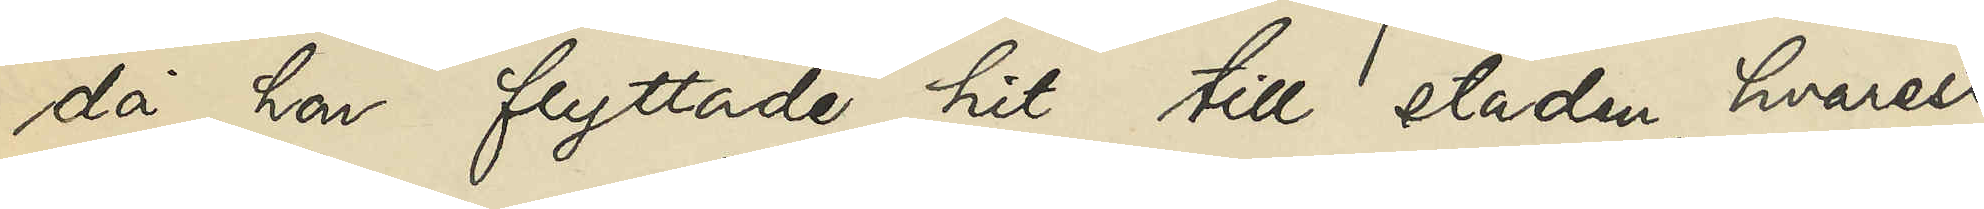då hon flyttade hit till staden, hvarest
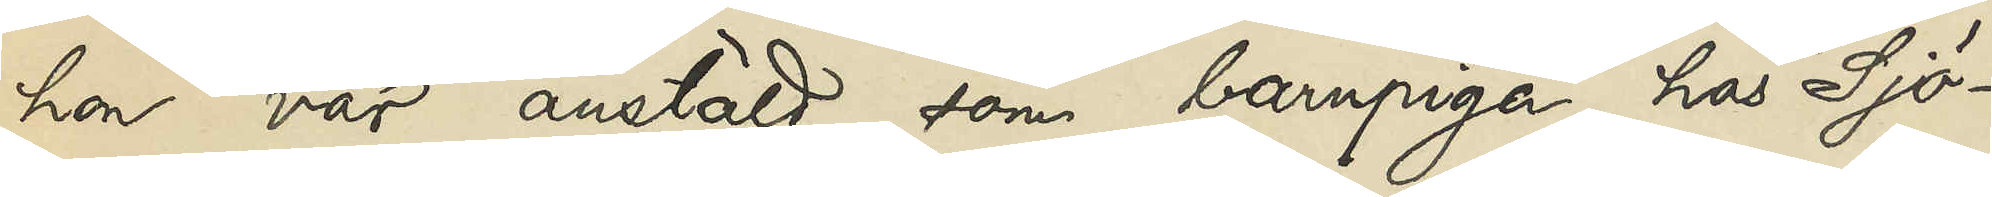hon var anstäld som barnpiga hos Sjö¬
